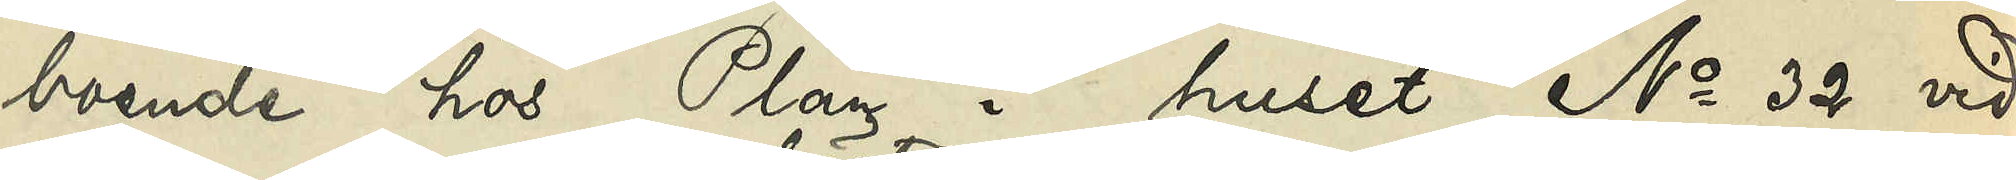boende hos Plan i huset No 32 vid
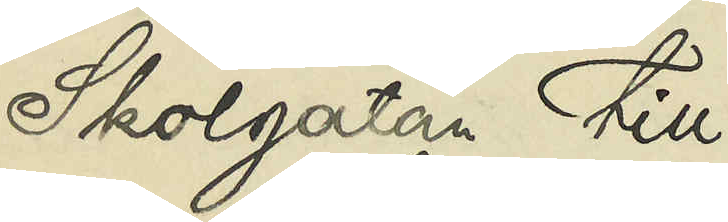Skolgatan till
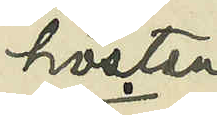hösten
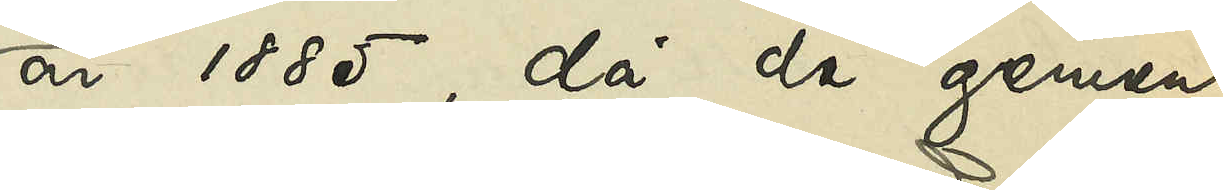år 1885, då de gemen¬
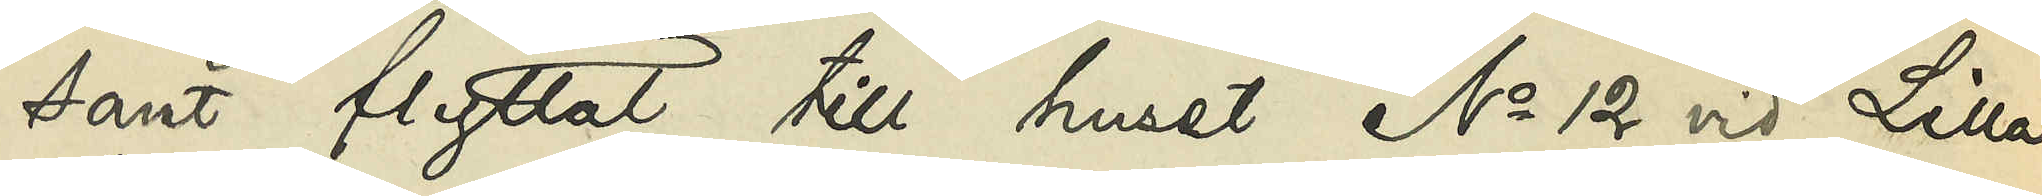samt flyttat till huset No 12 vid Lilla
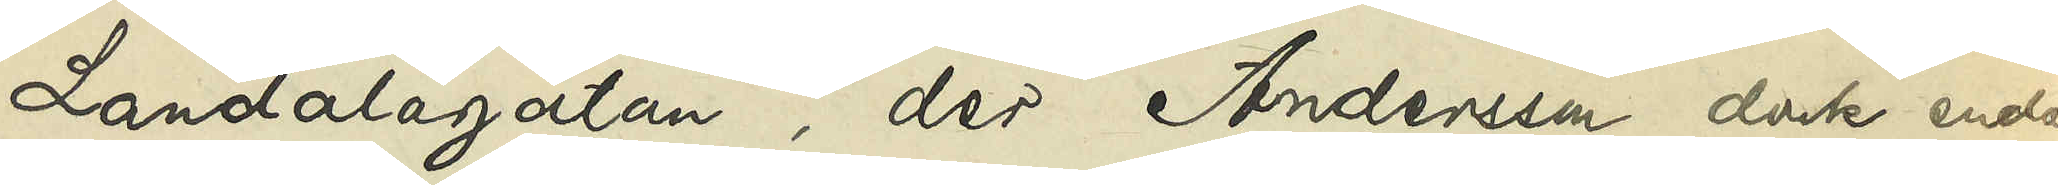Landalagatan, der Andersson dock endast
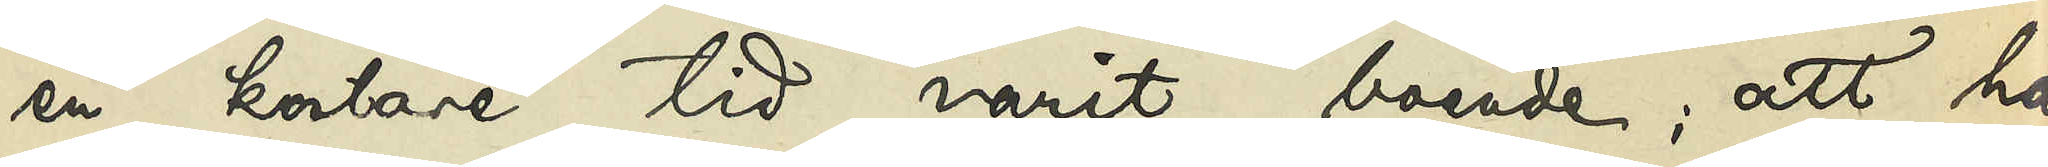en kortare tid varit boende; att han
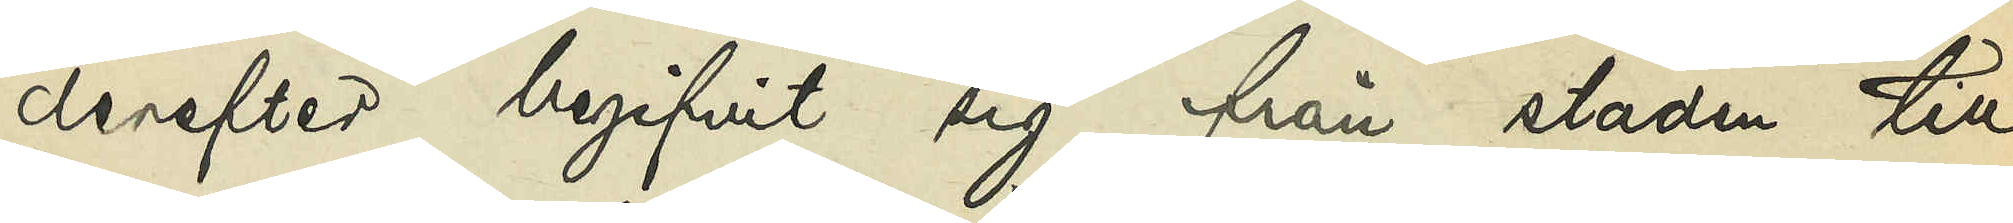derefter begifvit sig från staden till
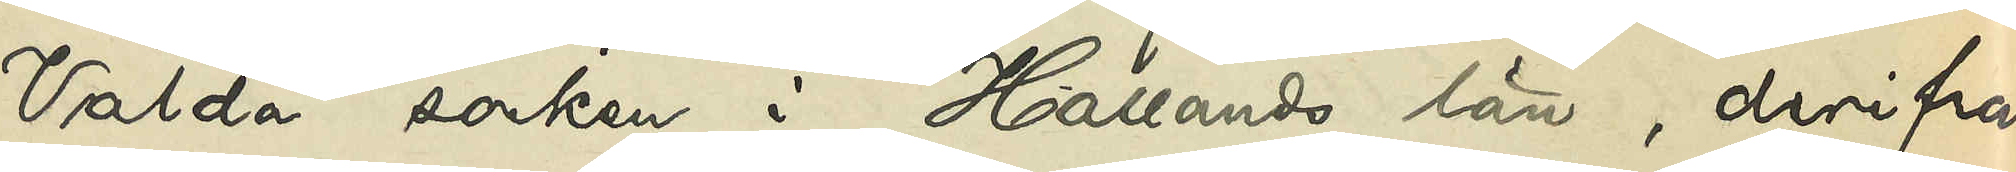Valda socken i Hallands län, derifrån
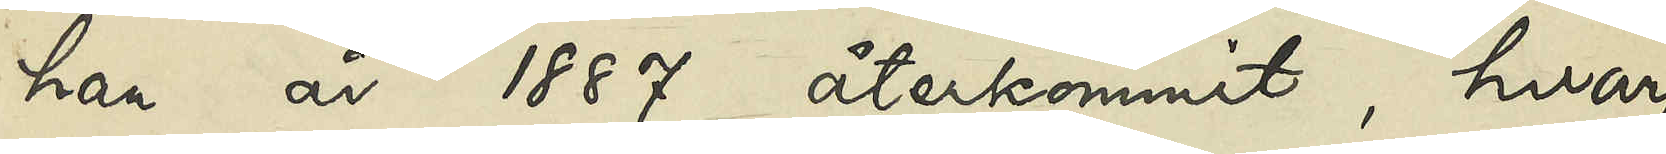han år 1887 återkommit, hvarpå¬
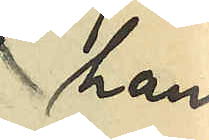han
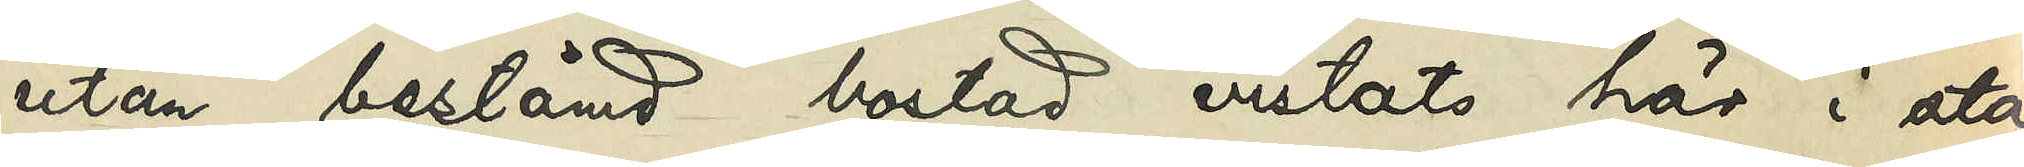utan bestämd bostad vistats här i sta¬
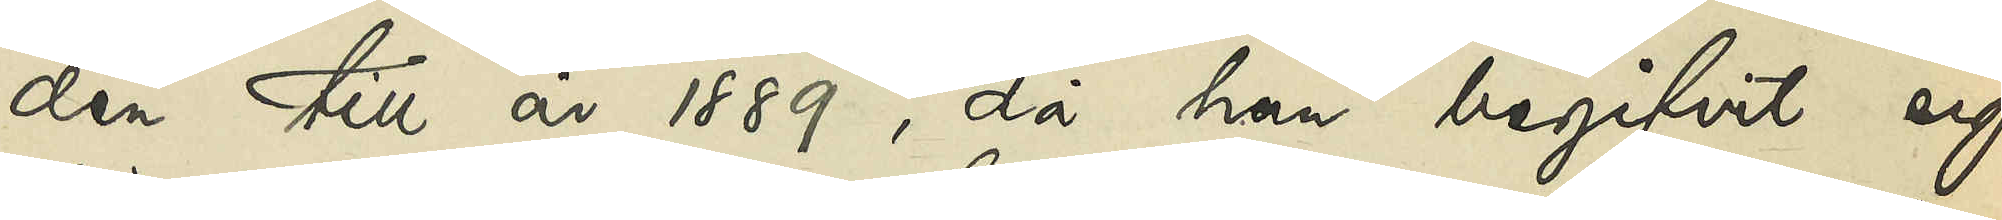den till år 1889, då han begifvit sig
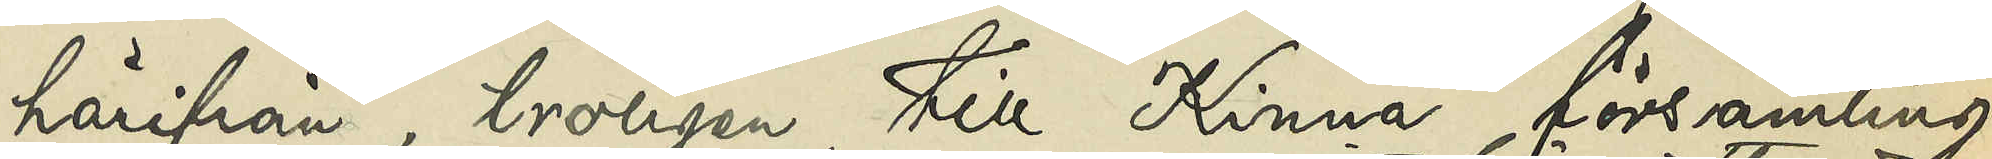härifrån, troligen till Kinna församling,
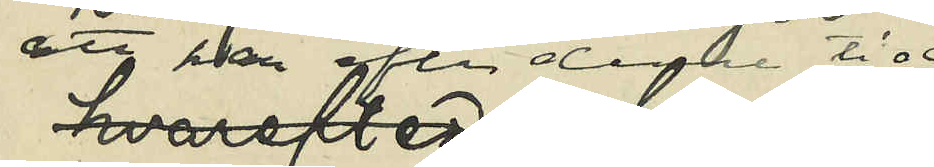att han efter denna tid
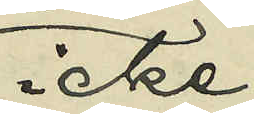icke
